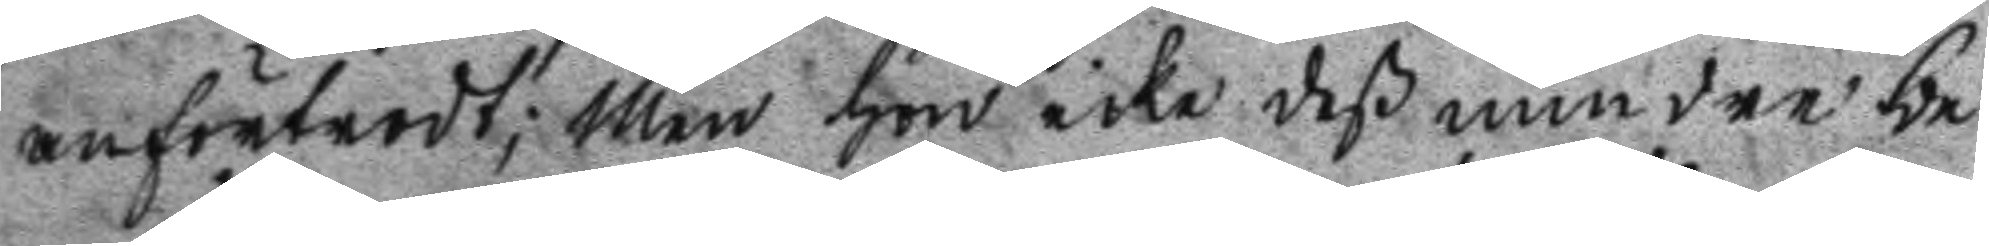anförtrodt; men hon icke deß mindre be
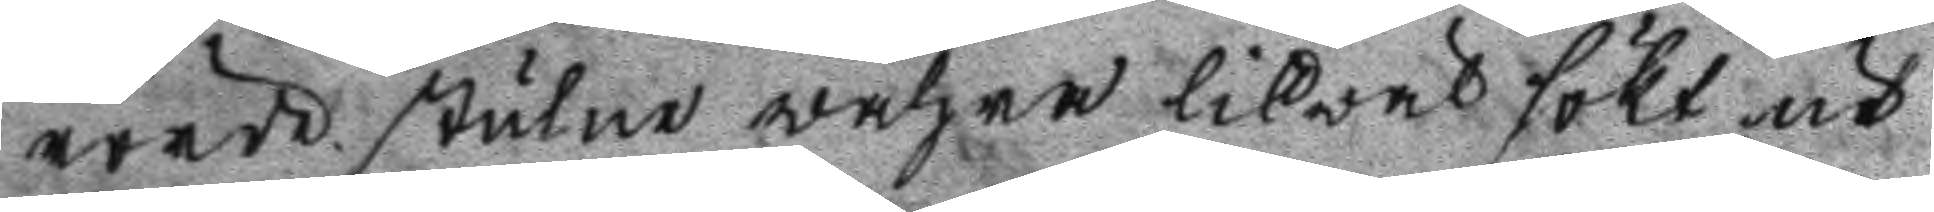rörde stulne wahra likwäl sökt ut
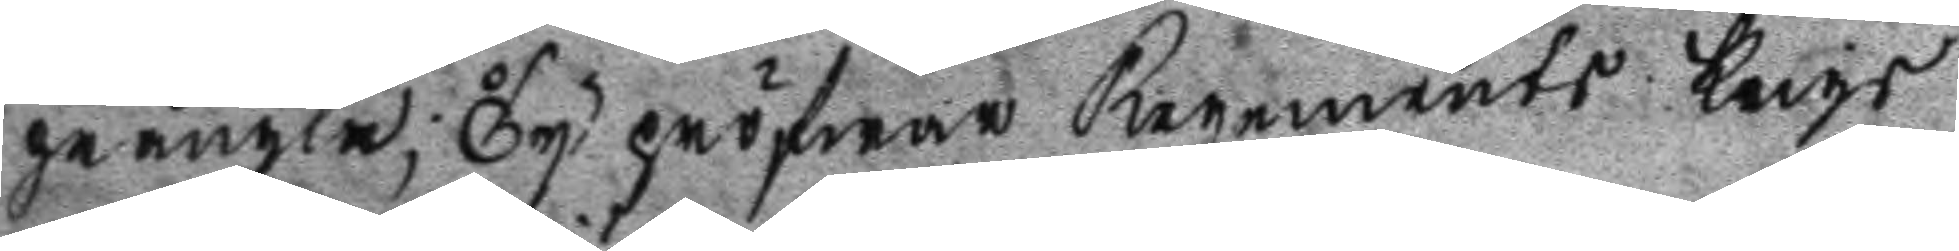prångla; Ty pröfwar Regements Krigs
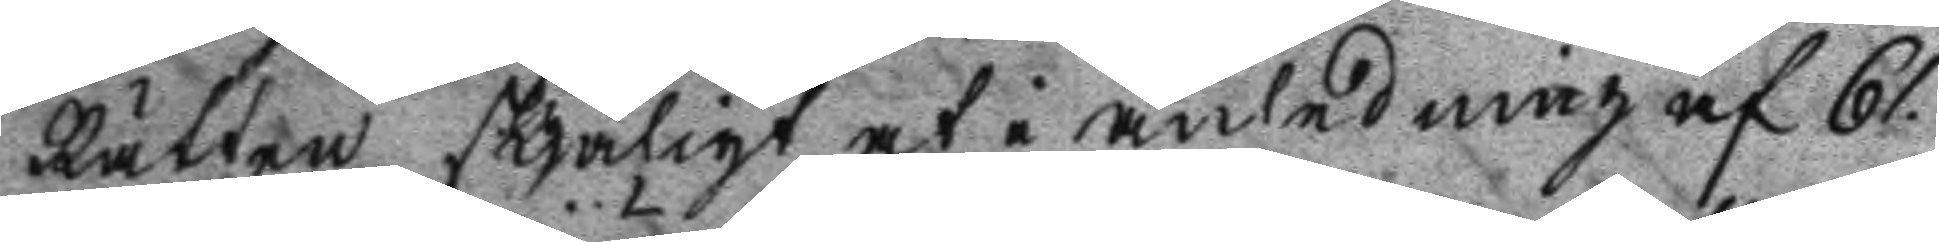Rätten skjäligt at i anledning af 61.
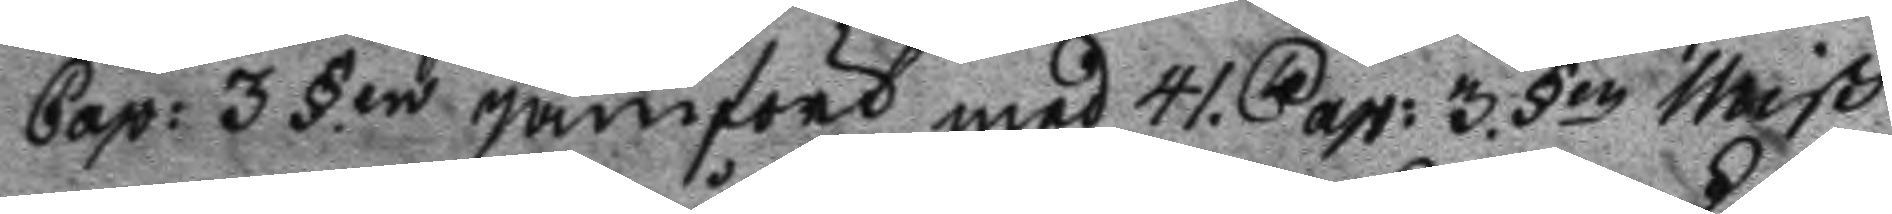Cap: 3 §.en jämfört med 41. Cap: 3. §en Miß
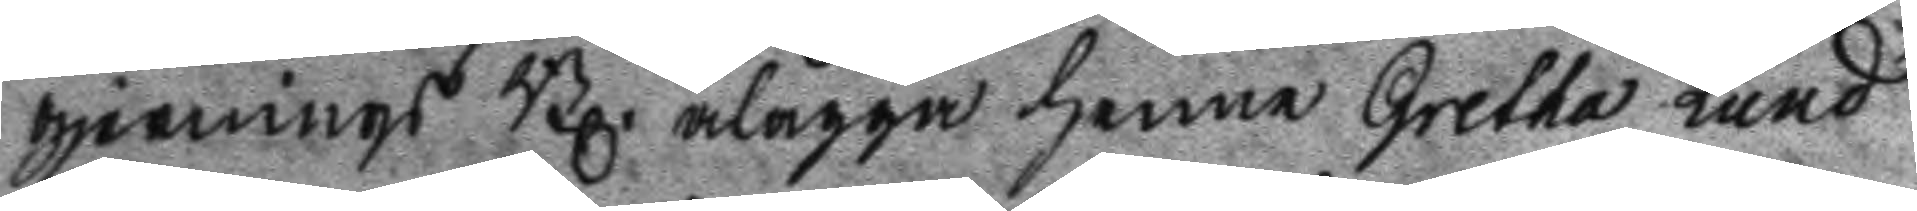gjernings Bl. ålägga henne Gretha Lund
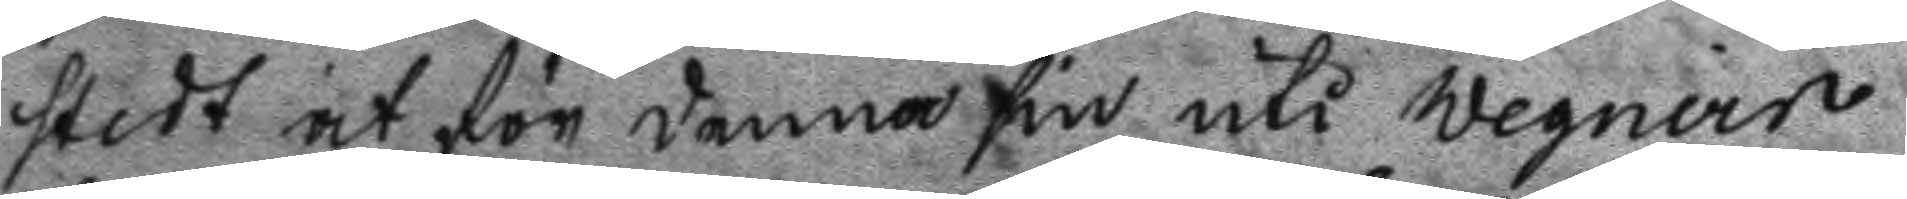stedt at för denna sin uti Wegner
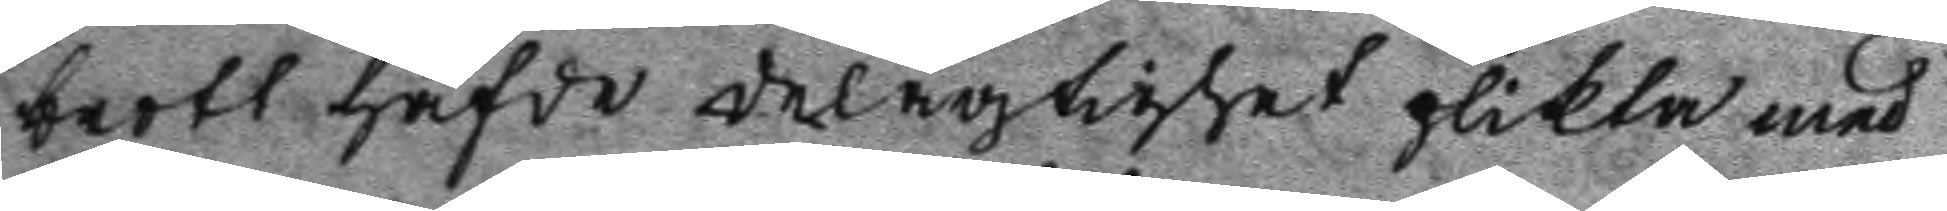brott hafde delagtichet plikta med
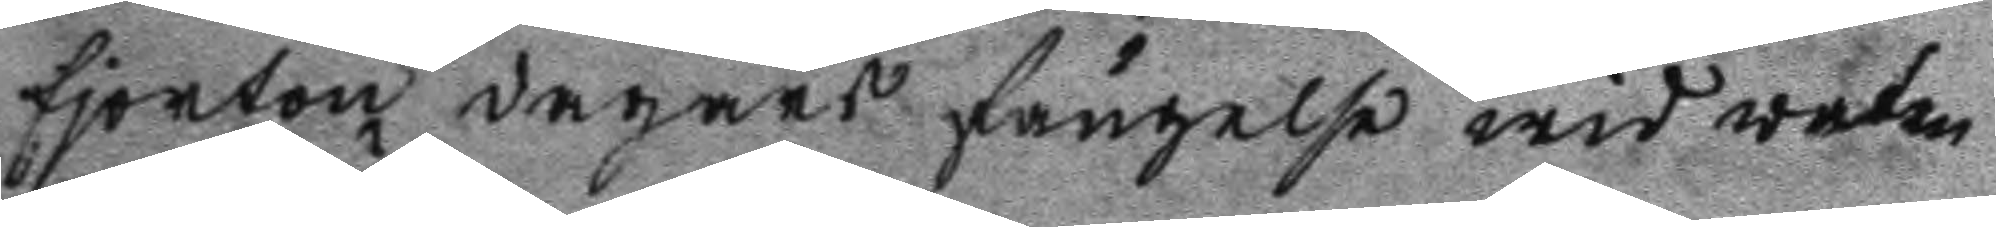fjorton dagars fängelse wid waten
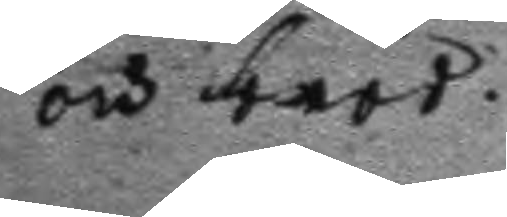och bröd.
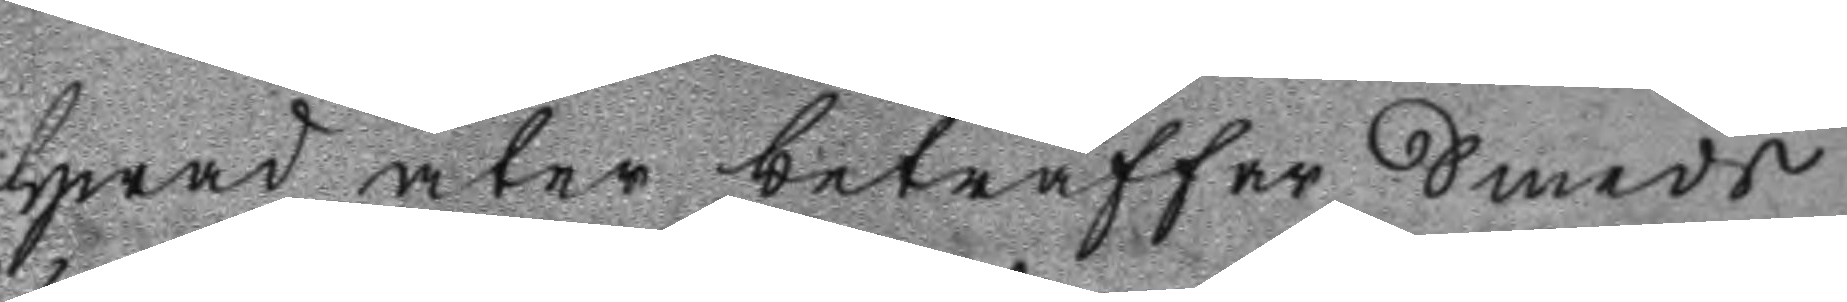Hwad åter beträffar Smeds
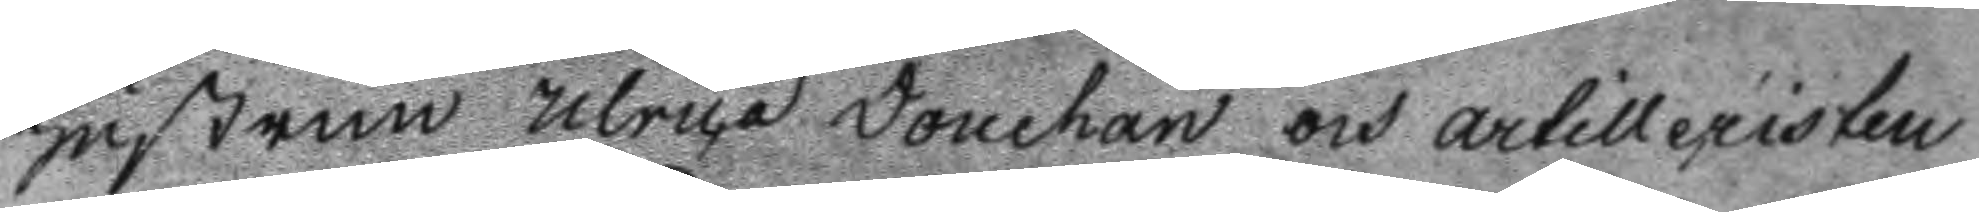Hustrun Ulrica Douchan och artilleristen
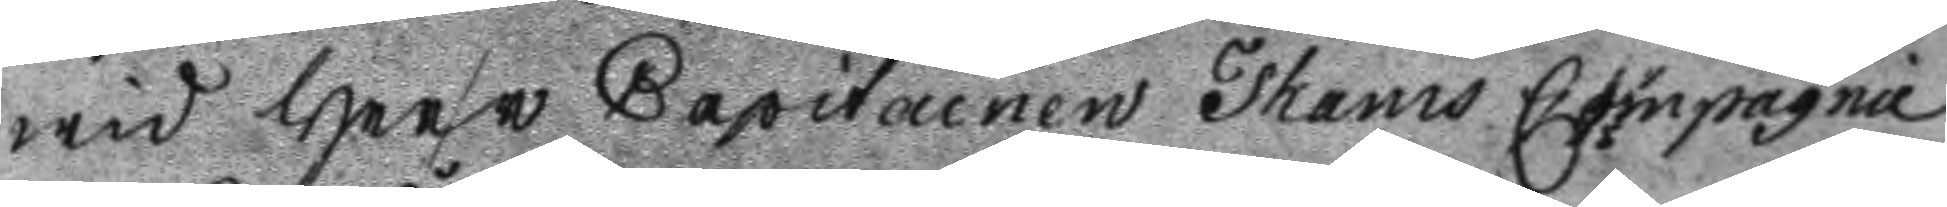wid Herr Capitainen Thams Compagnie
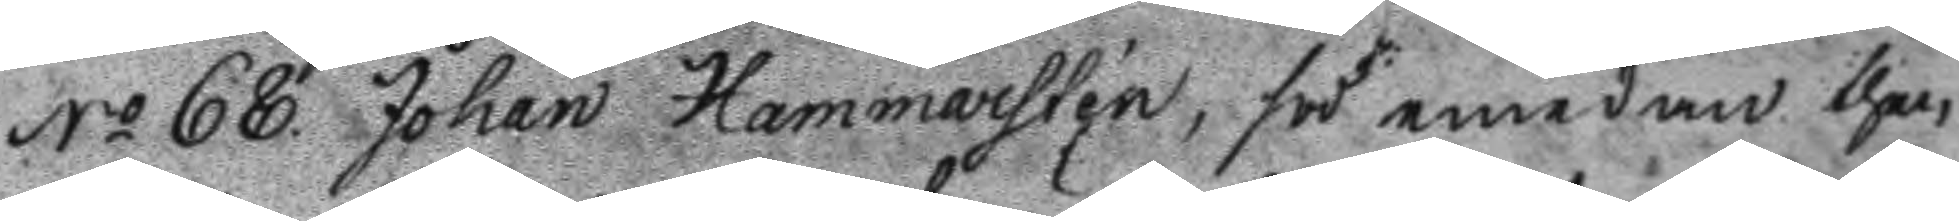No 68. Johan Hammarsten, för emedan then
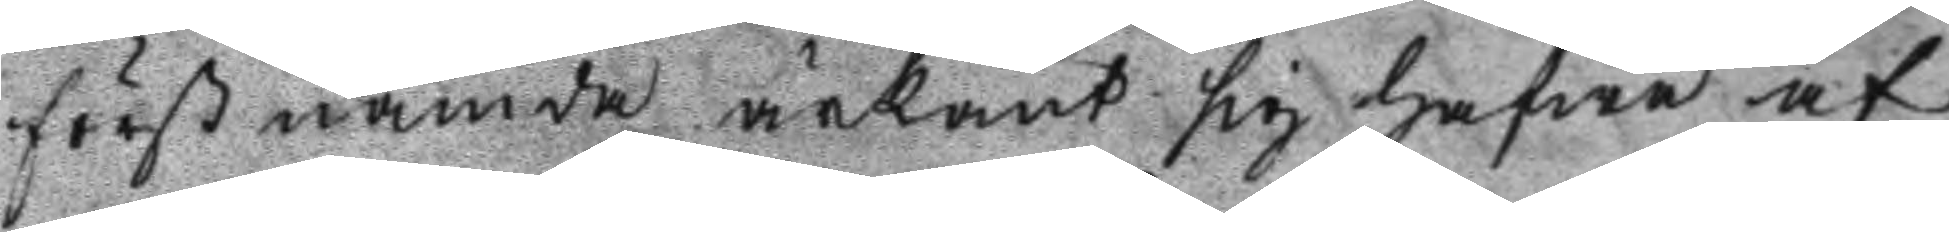förstnämde ärkänt sig hafwa af
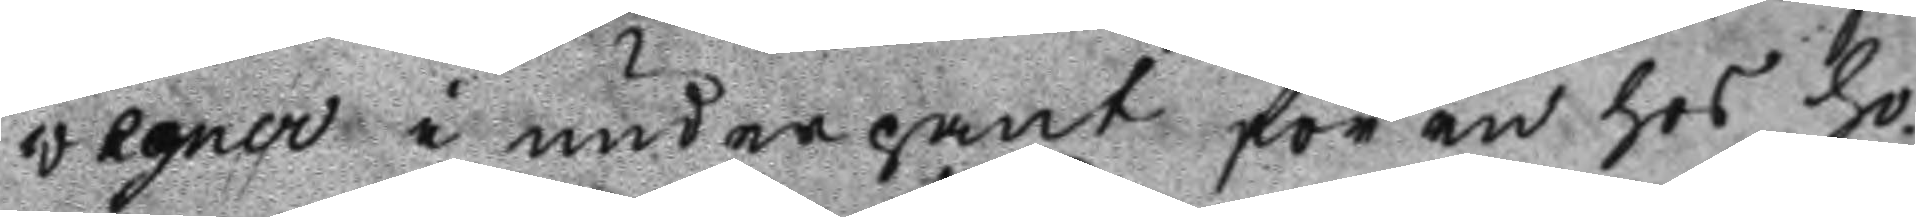wegner i underpant för en hos ho
